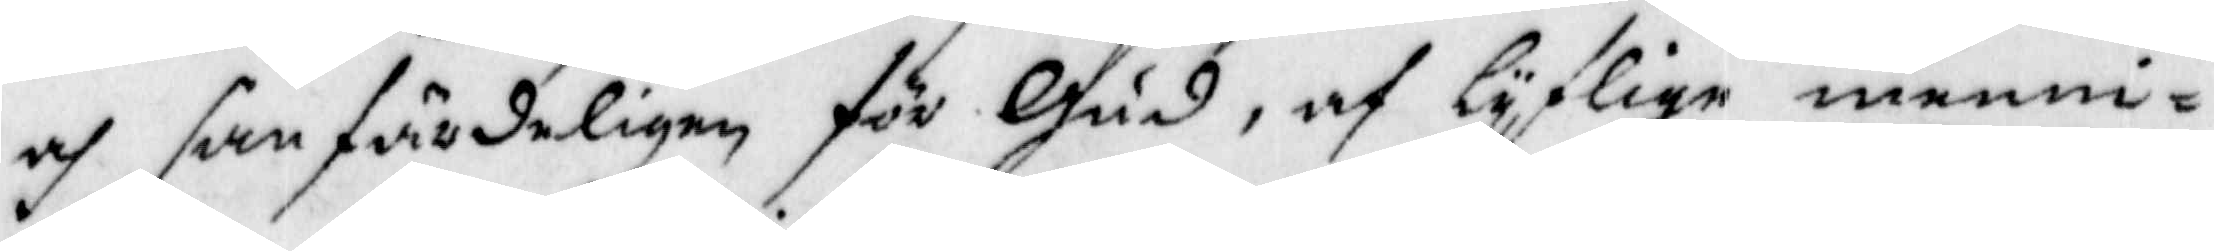och sanfärdeligen för Gud, af lyflige menni¬
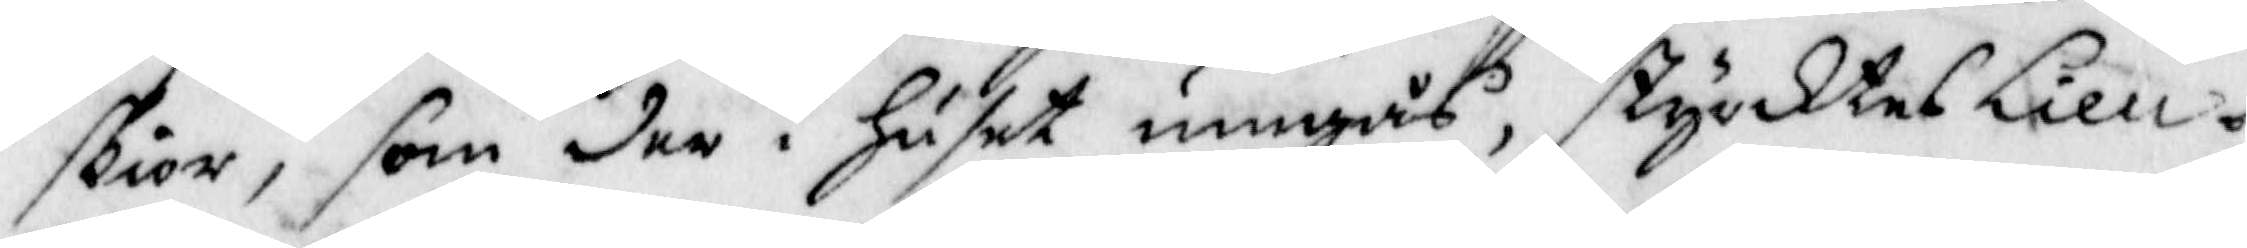skior, som der i Huset umgås, styrktes Lieu¬
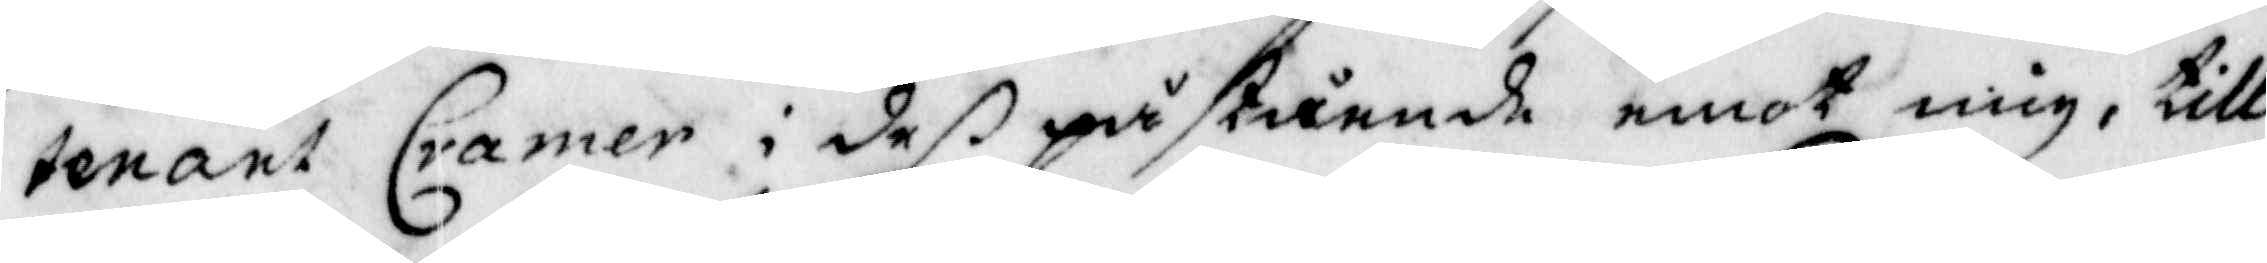tenant Carmer i deß påstående emot mig, till
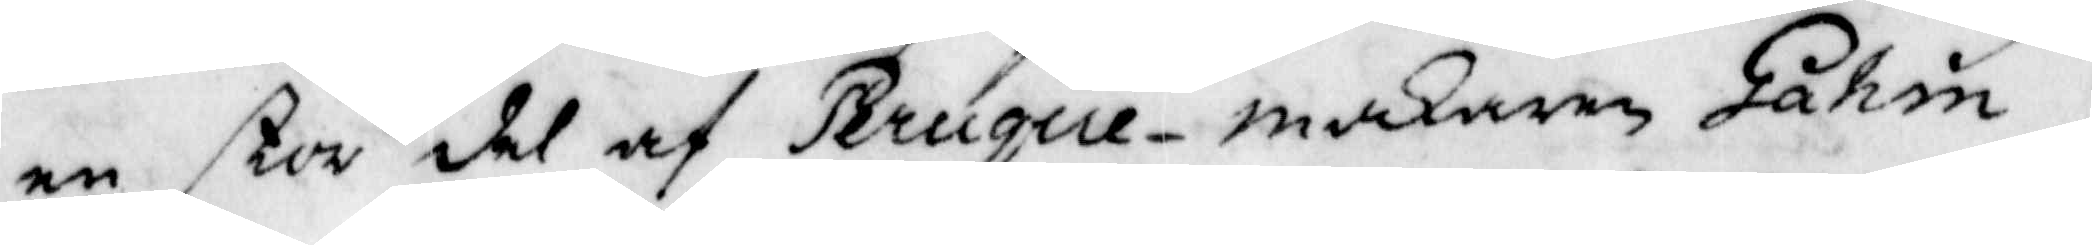en stor del af Peruque-makaren Gahm;
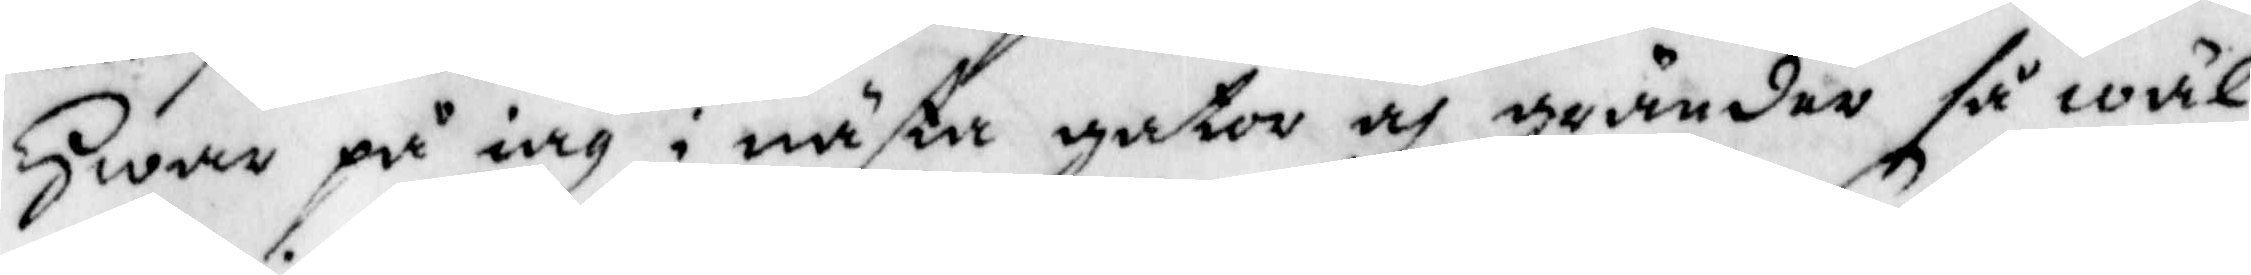Hwar på iag i mästa gator och gårdar så wäl
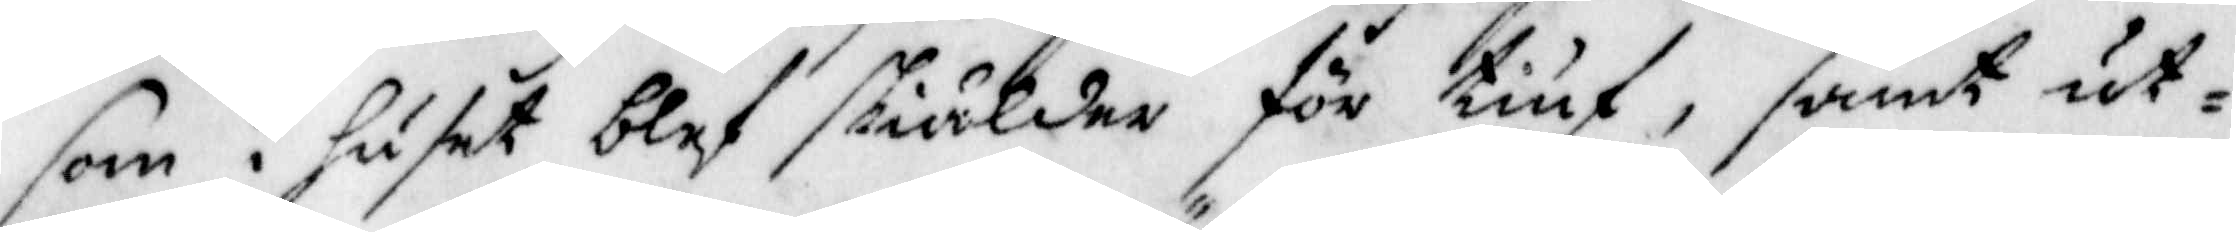som i huset blef skiälder för tiuf, samt ut¬
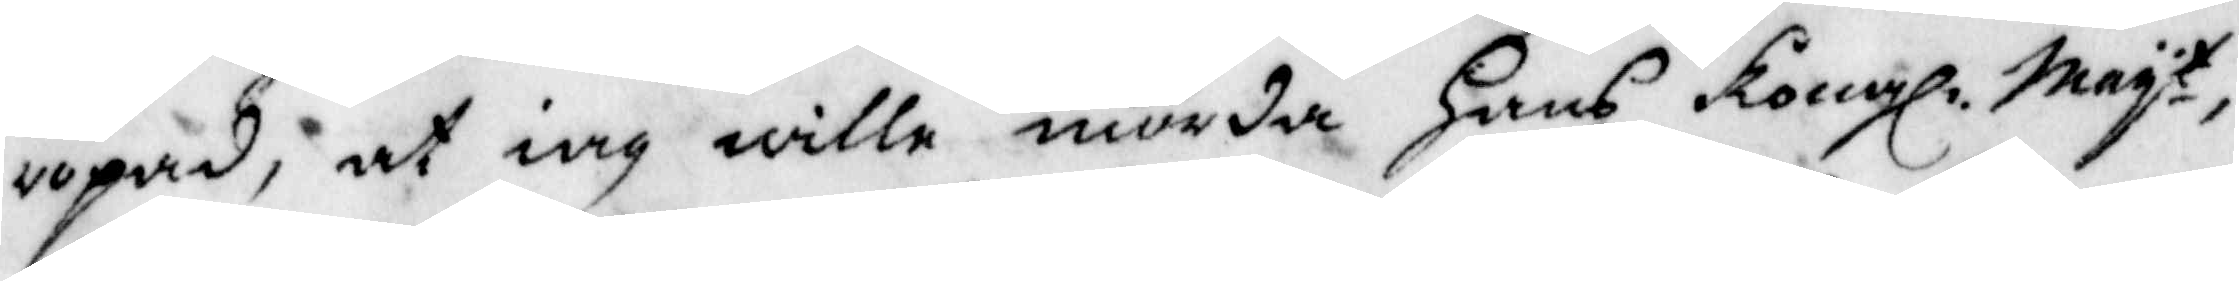ropad, at iag wille mörda Hans Kongl. Mayt
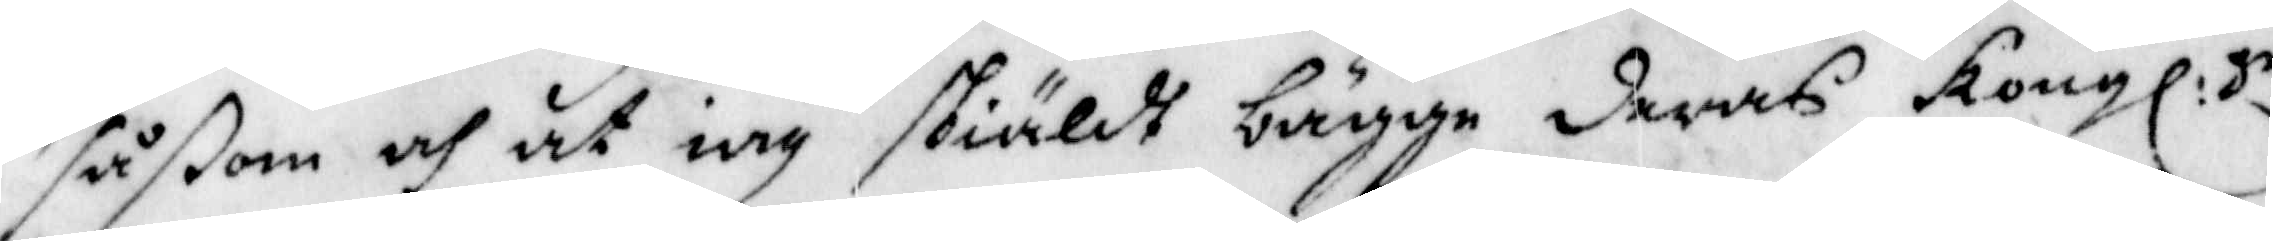såßom och at iag skiäldt bägge deras Kongl:ge
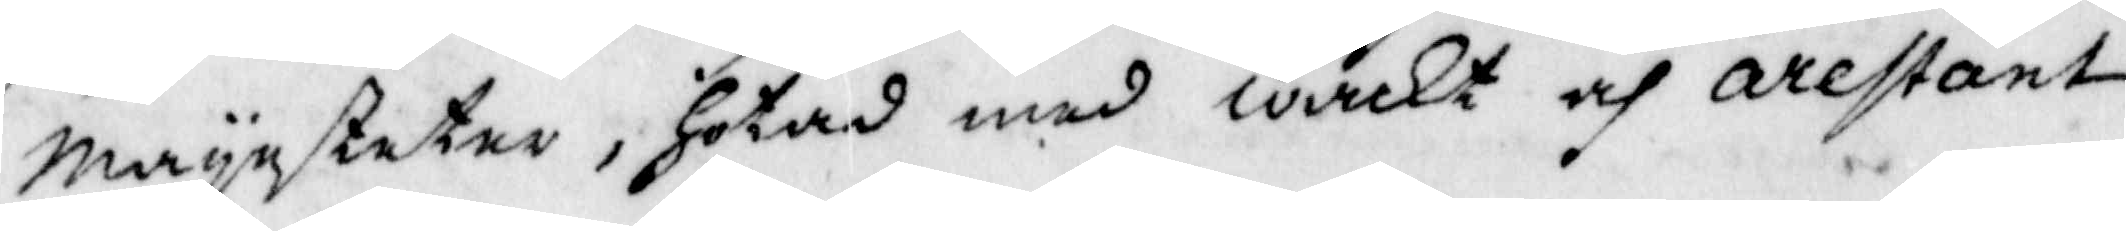Mayesteter, Hotad med wakt och arestant
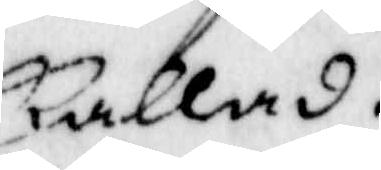kallad.
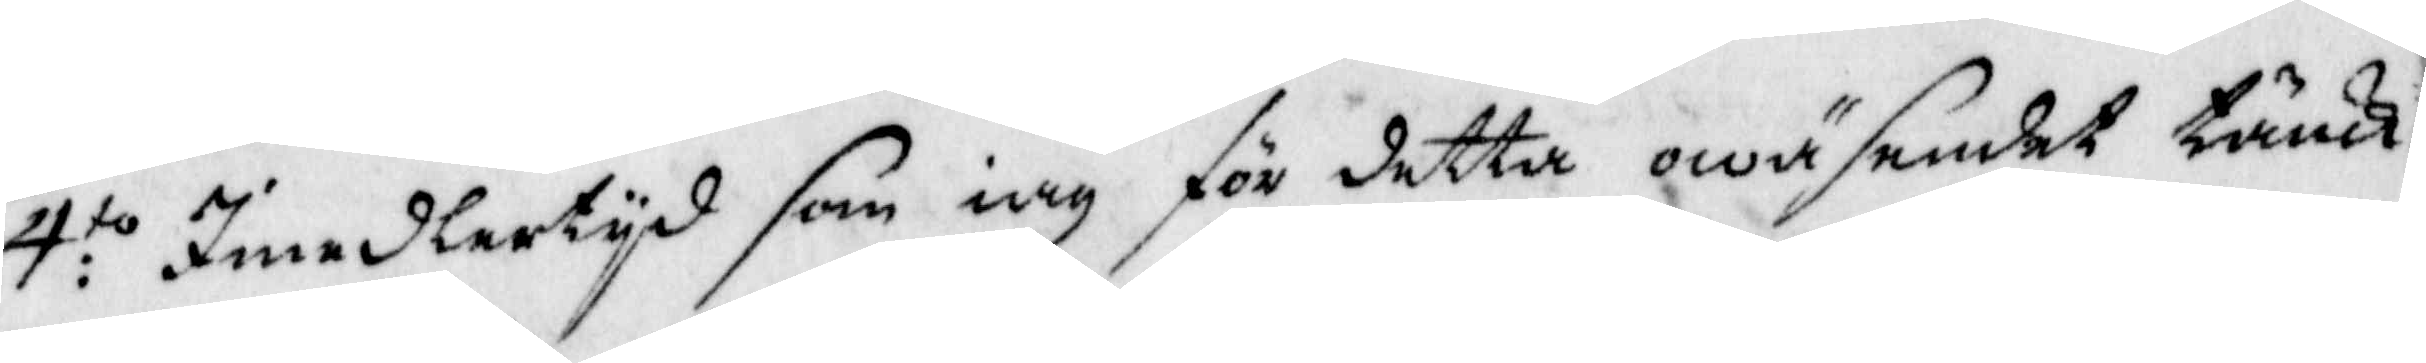4:to Imedlertyd som iag för detta owäsendet tänk¬
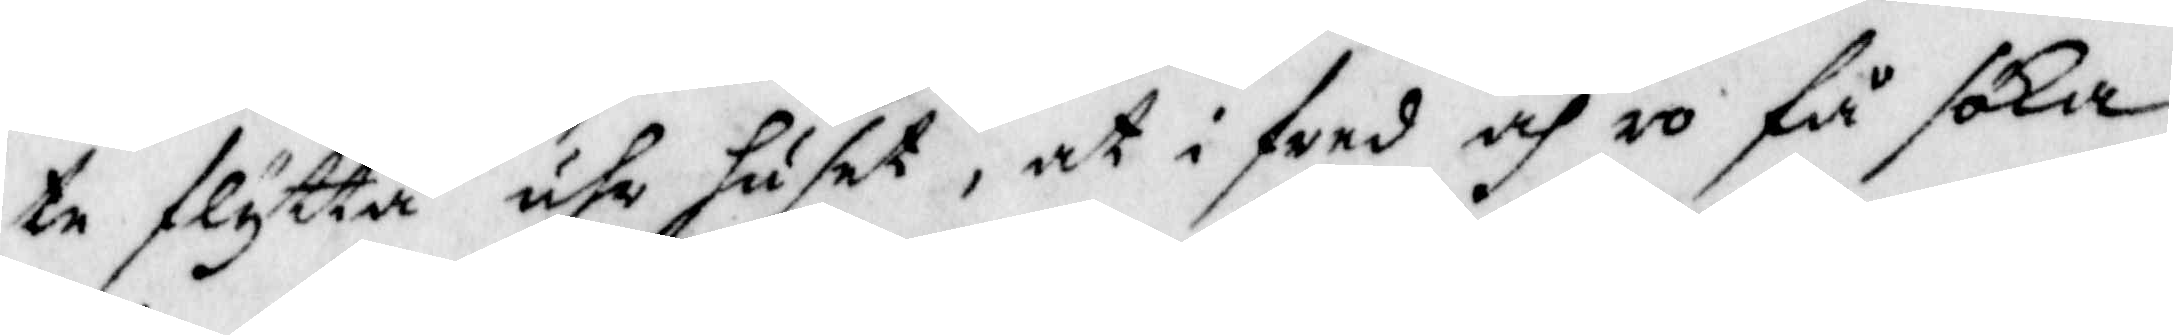te flytta uhr huset, at i fred och ro få söka
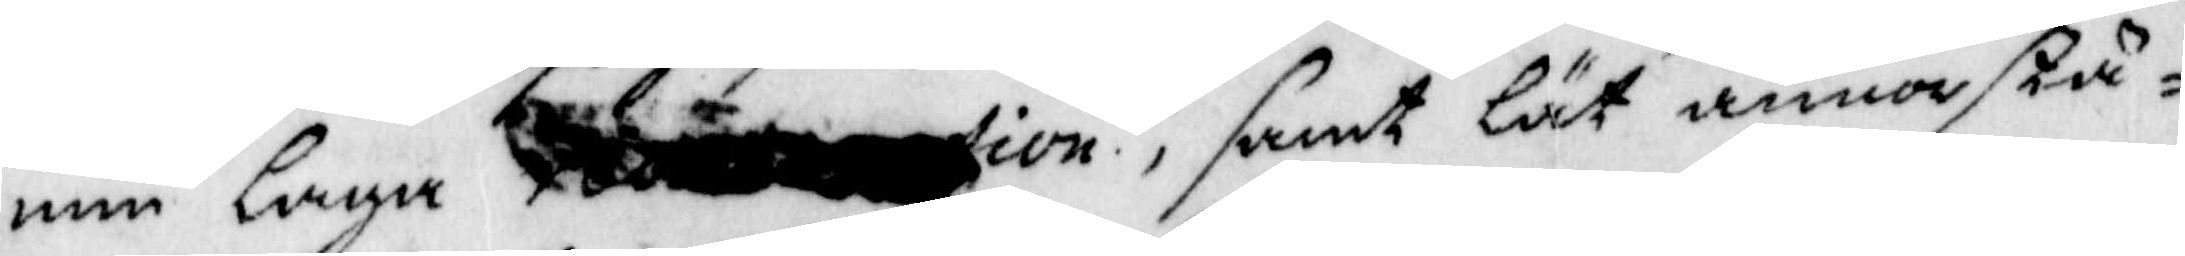min laga, samt lät annorstä¬
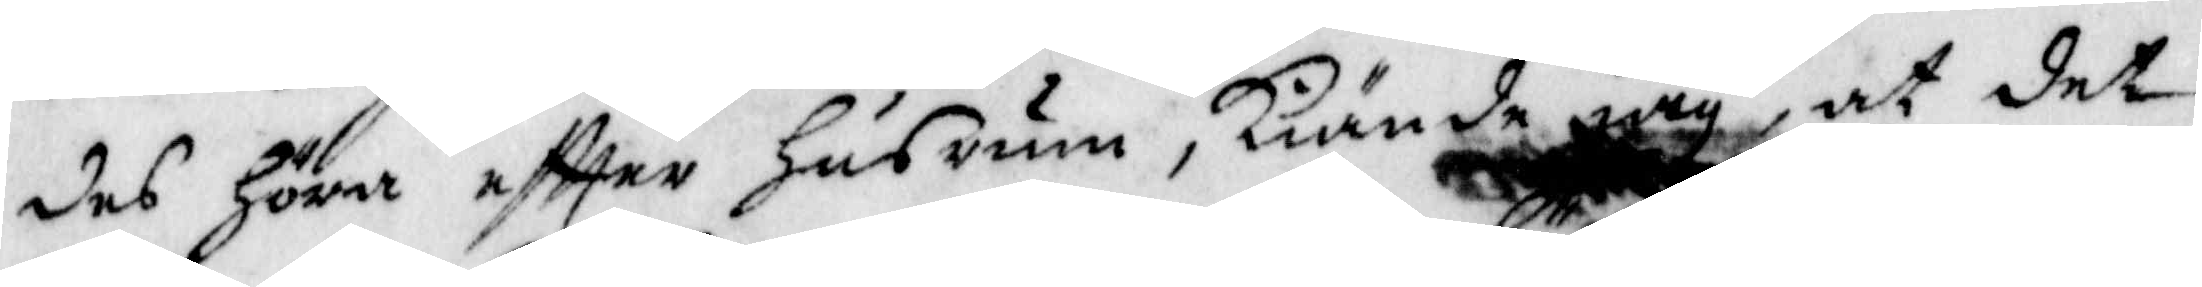des Höra eftter Husrum, kiände iag, at det
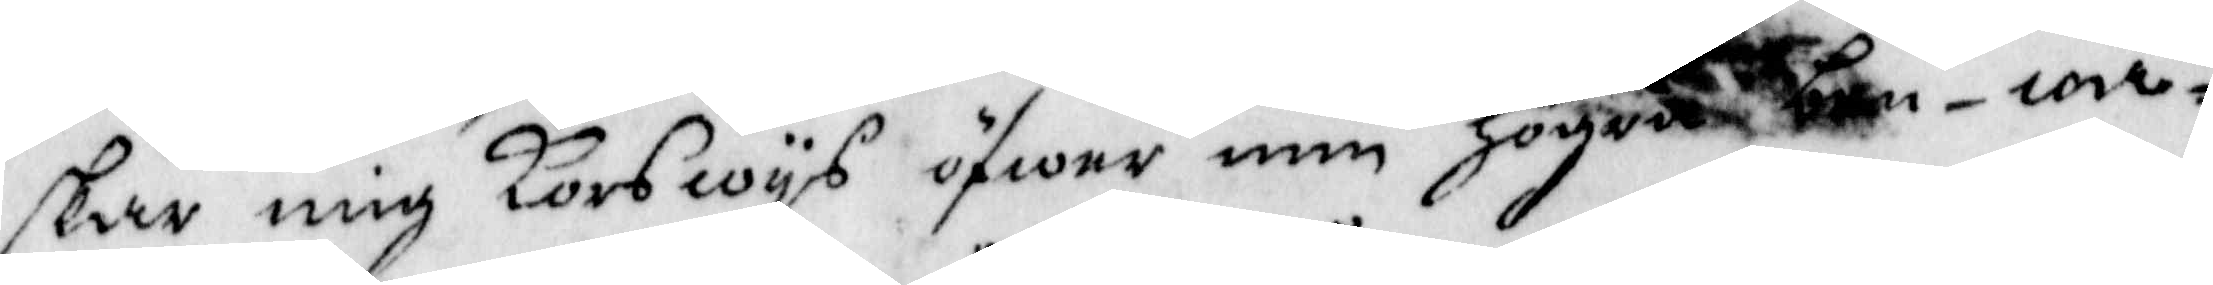skar mig Korswys öfwer min Högra ben-wa¬
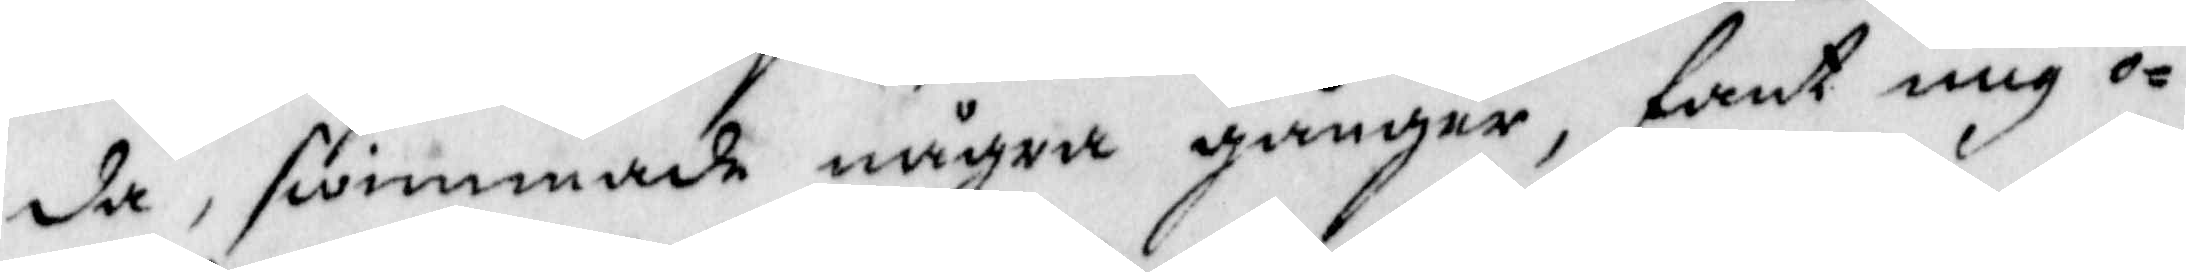da, swimmade några gånger, fant mig o¬
